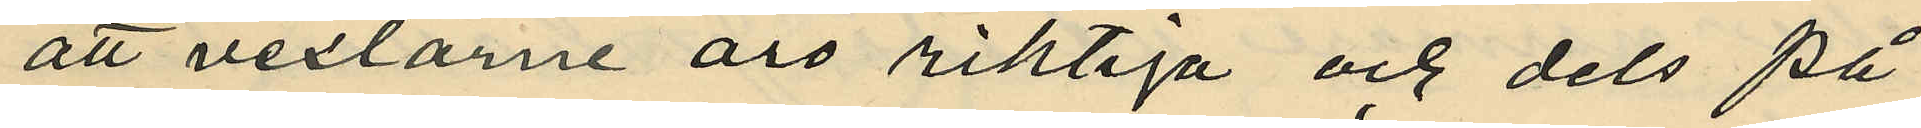att vexlarne äro riktiga och dels på
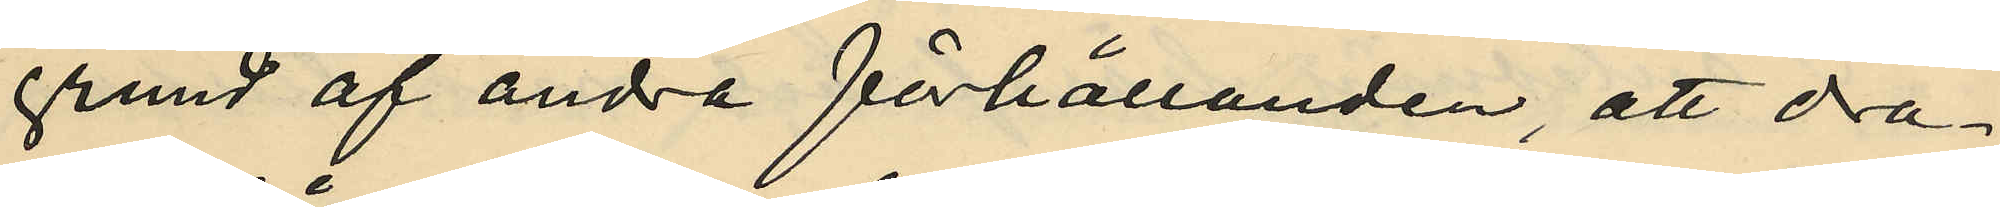grund af andra förhållanden, att dra¬
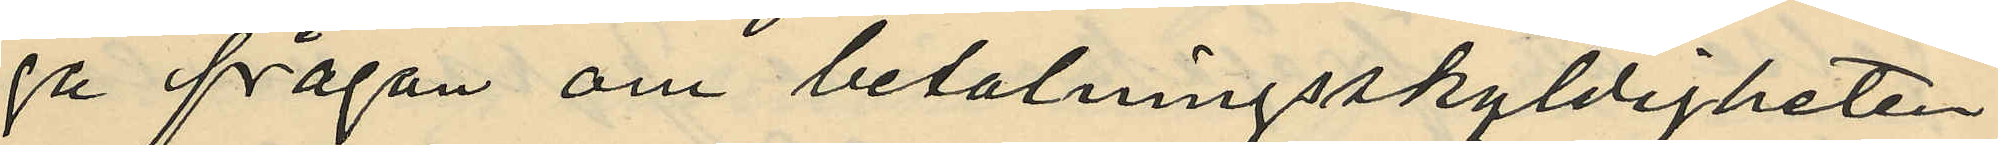ga frågan om betalningsskyldigheten
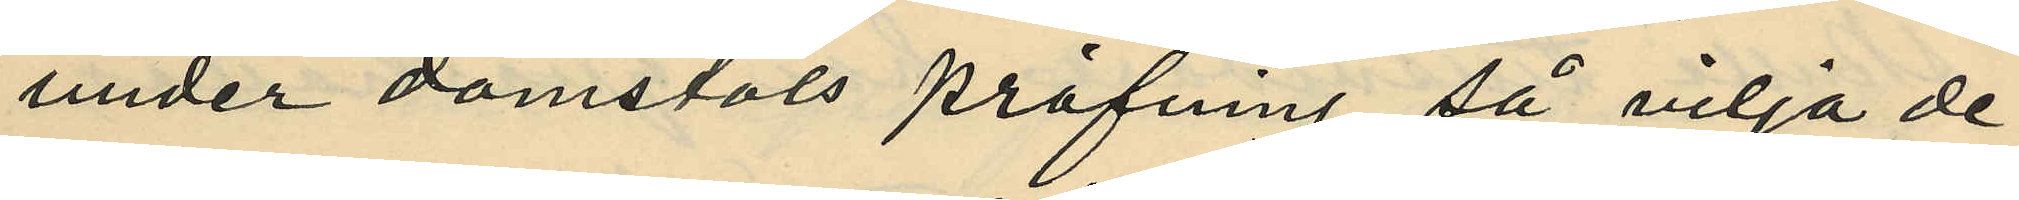under domstols pröfning, så vilja de
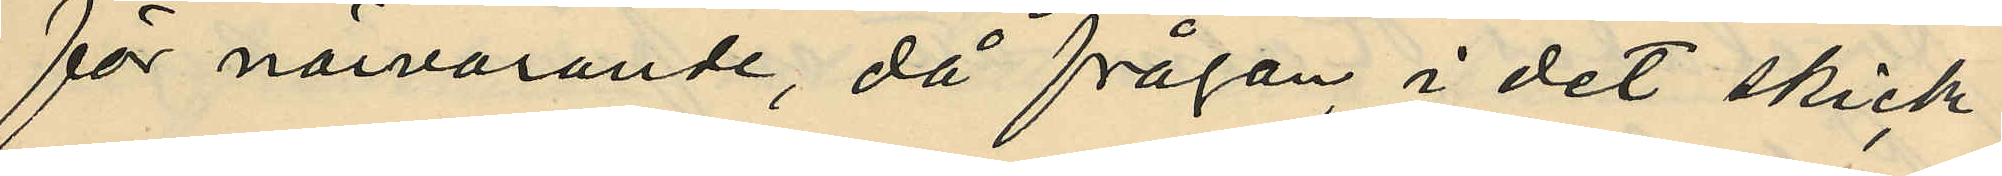för närvarande, då frågan i det skick
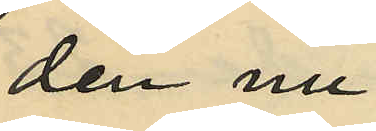den nu
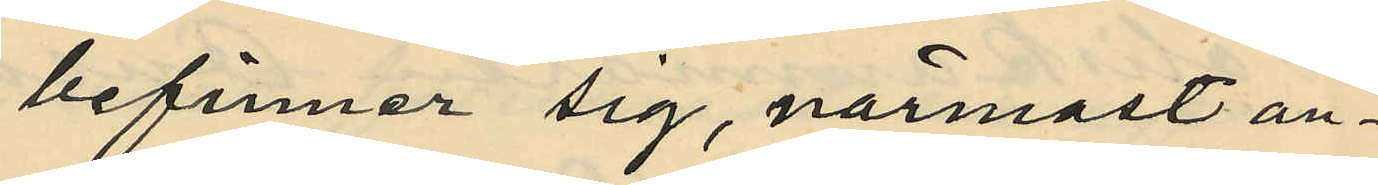befinner sig, närmast an¬
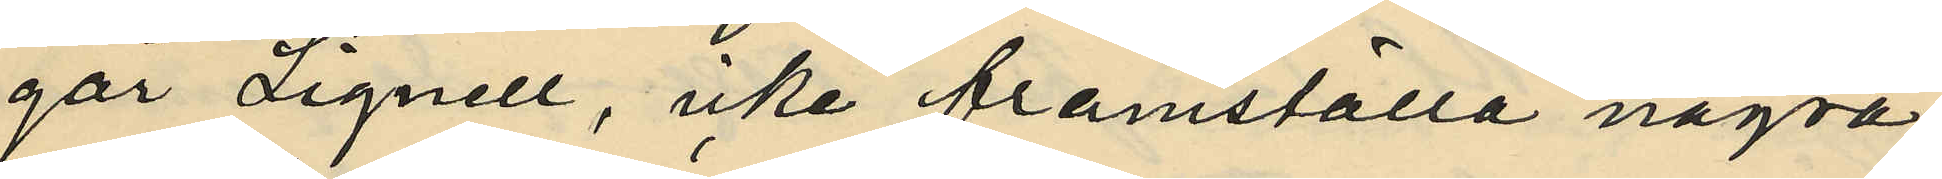går Lignell, icke framställa några
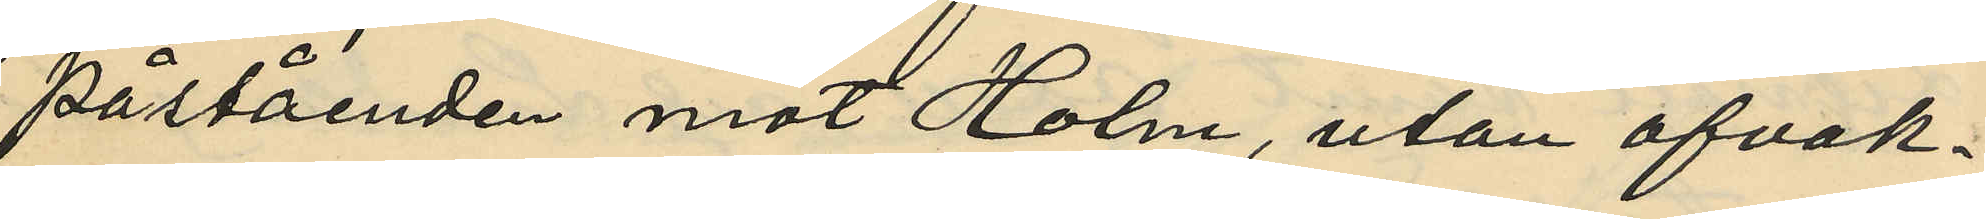påståenden mot Holm, utan afvak¬
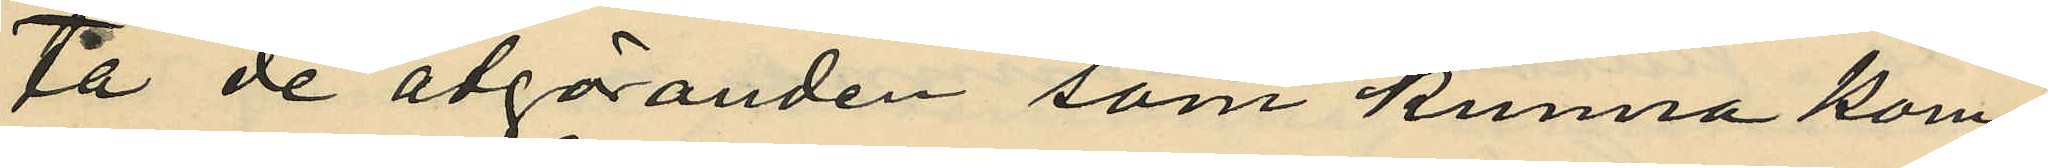ta de åtgöranden som kunna kom¬
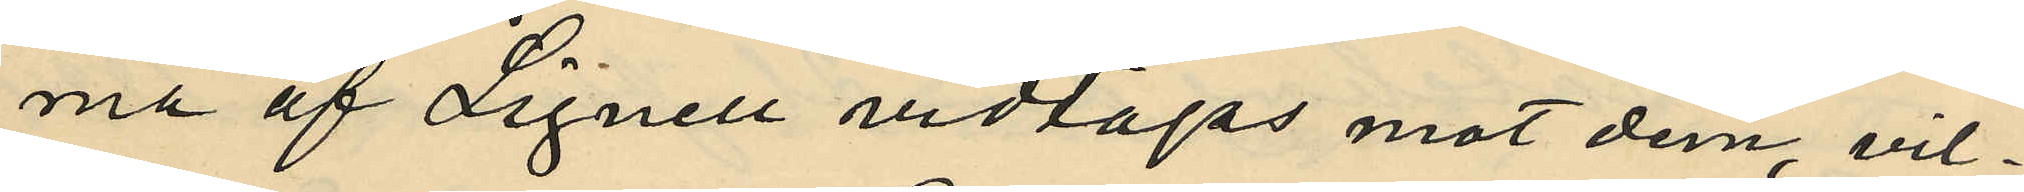ma af Lignell vidtagas mot dem, vil¬
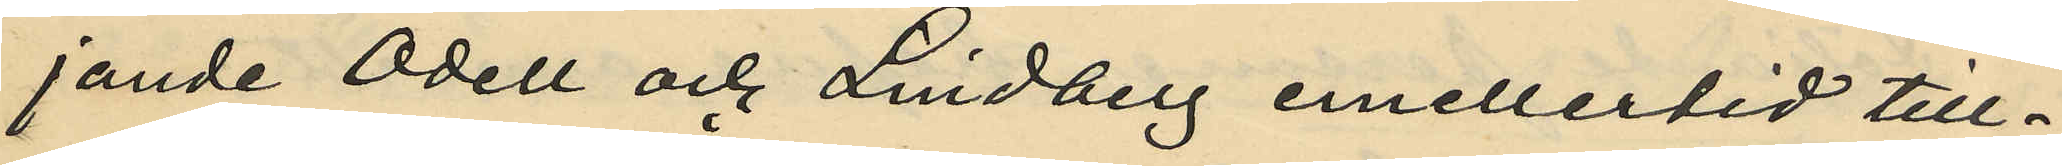jande Odell och Lindberg emellertid till¬
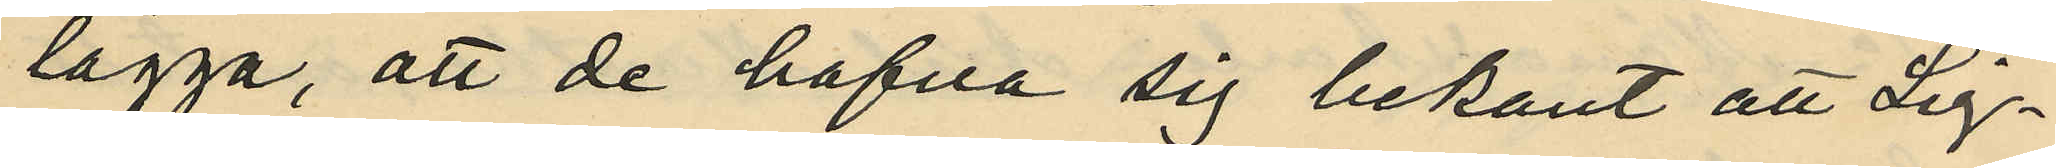lägga, att de hafva sig bekant att Lig¬
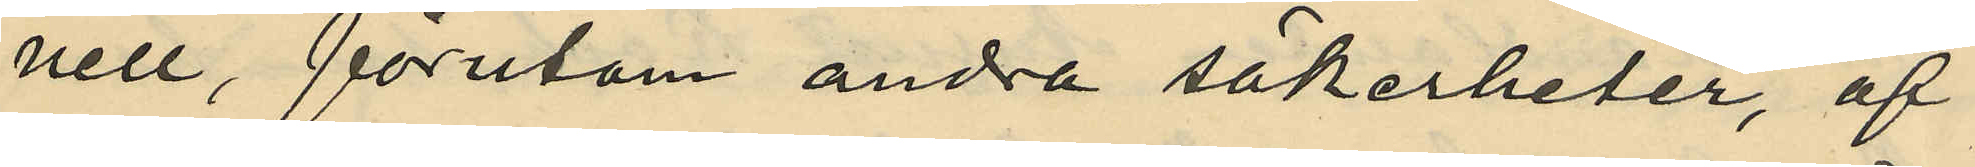nell, förutom andra säkerheter, af
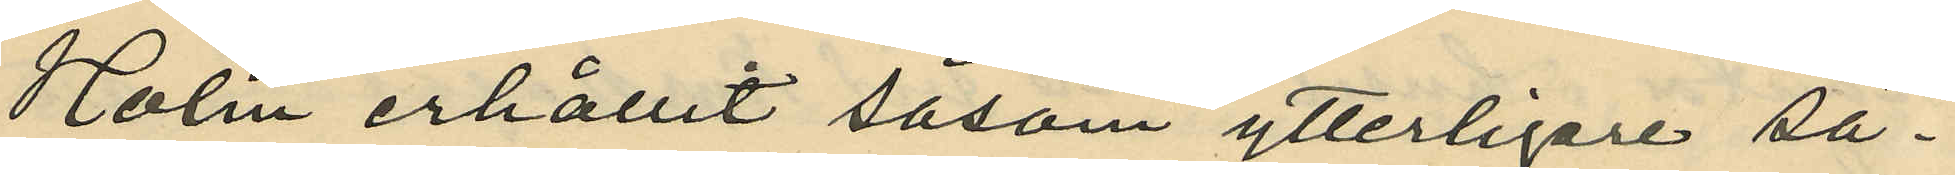Holm erhållit såsom ytterligare sä¬
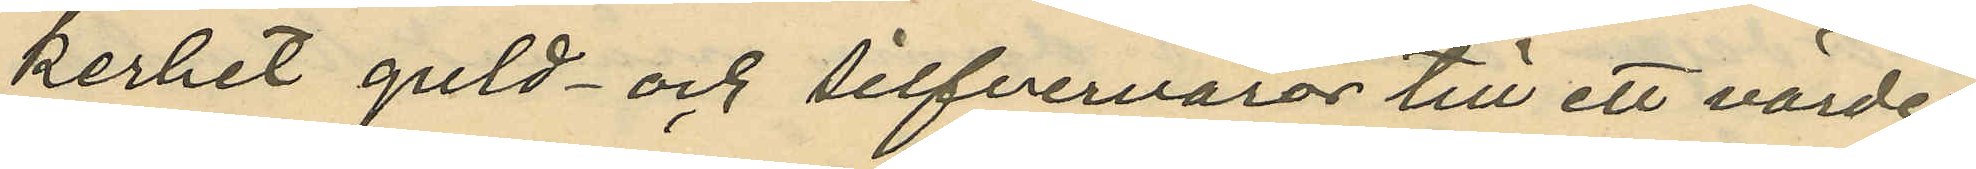kerhet guld- och silfvervaror till ett värde
